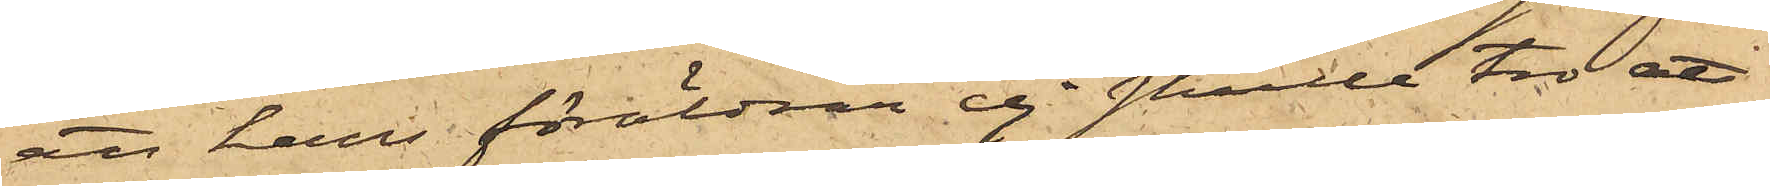att hans föräldrar ej skulle tro att
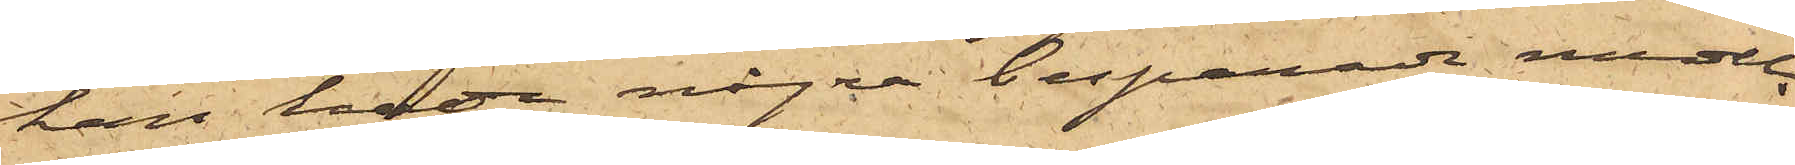han hade några besparade medel.
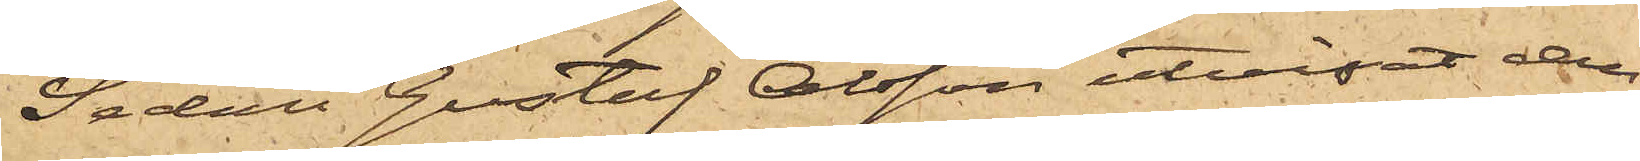Sedan Gustaf Olsson utvisat den
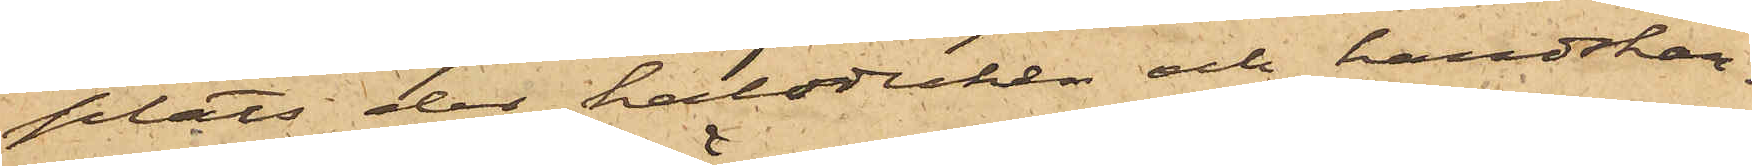plats der halsduken och handskar¬
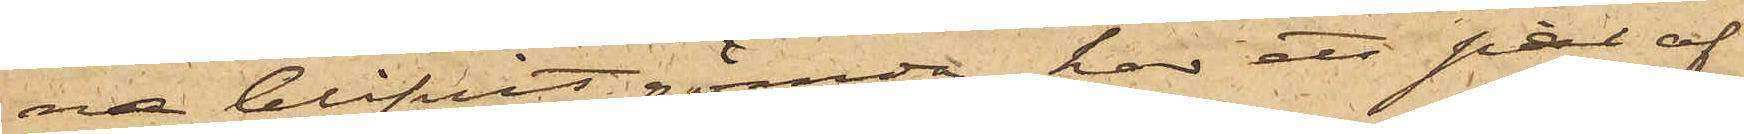na blifvit gömda, har ett par af
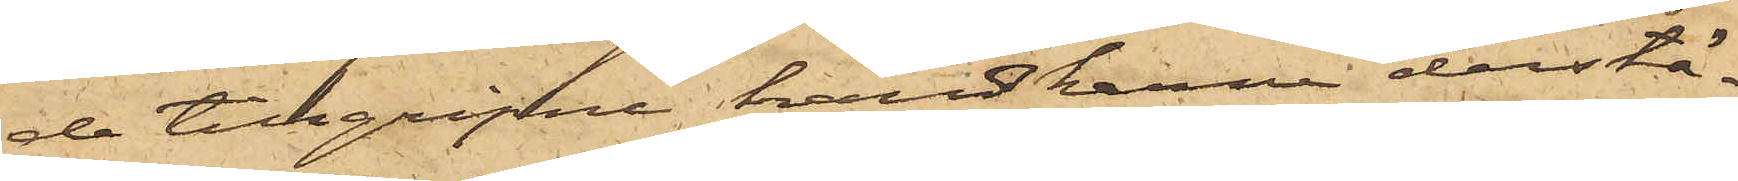de tillgripne handskarna derstä¬
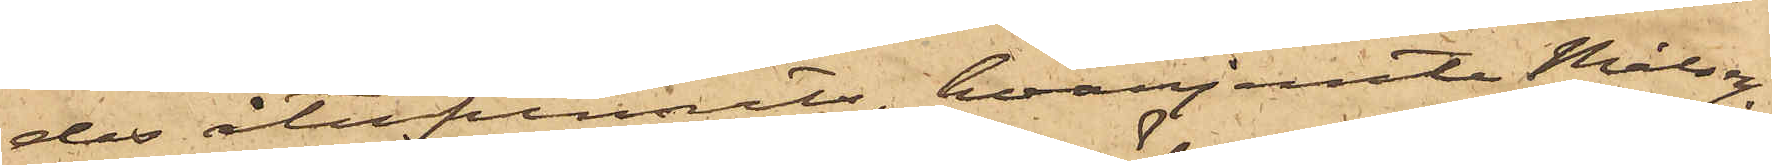des återfunnits, hvarjemte Målsegn
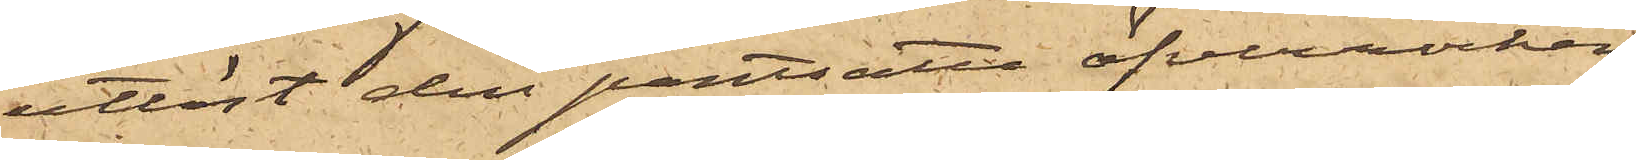utlöst den pantsatta öfverrocken.
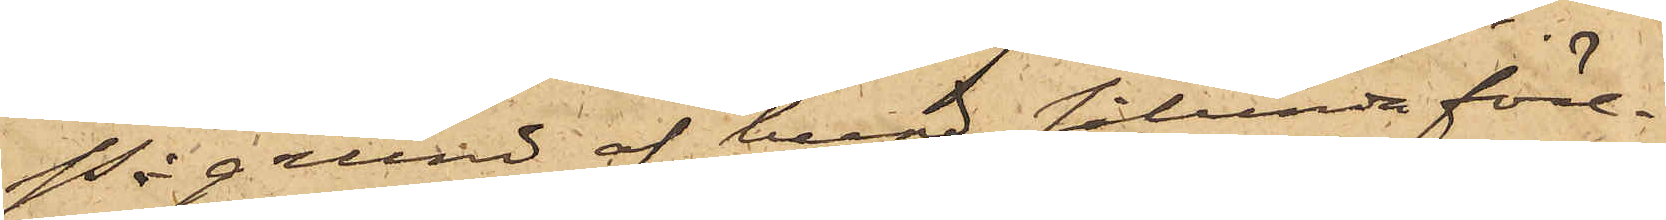På grund af hvad sålunda före¬
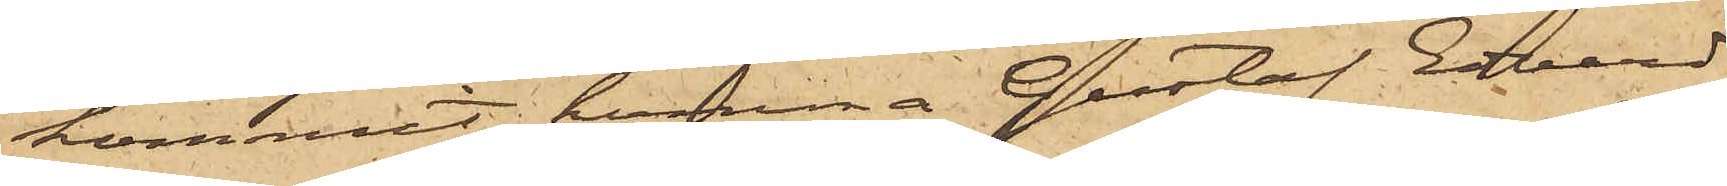kommit, komma Gustaf Edvard
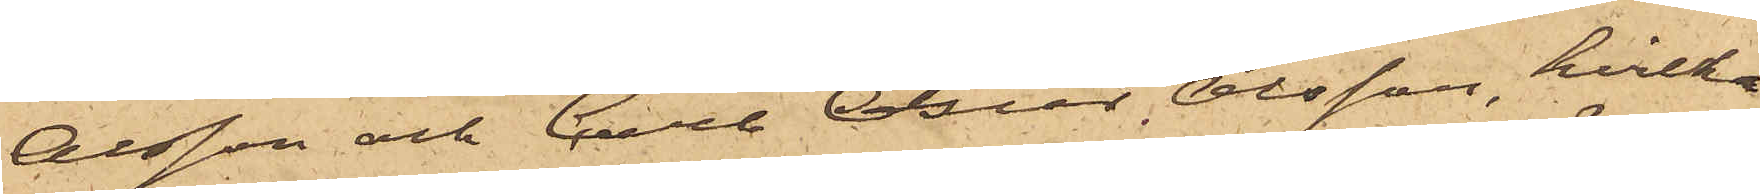Olsson och Carl Oscar Olsson, hvilka
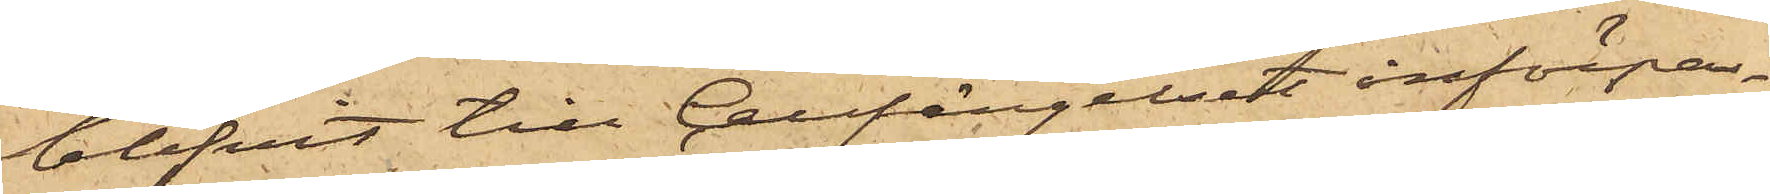blifvit till Cellfängelset införpas¬
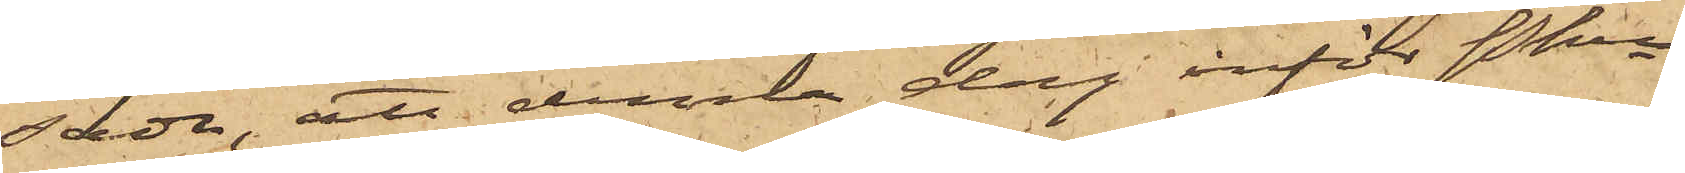sade, att denna dag inför Pkn
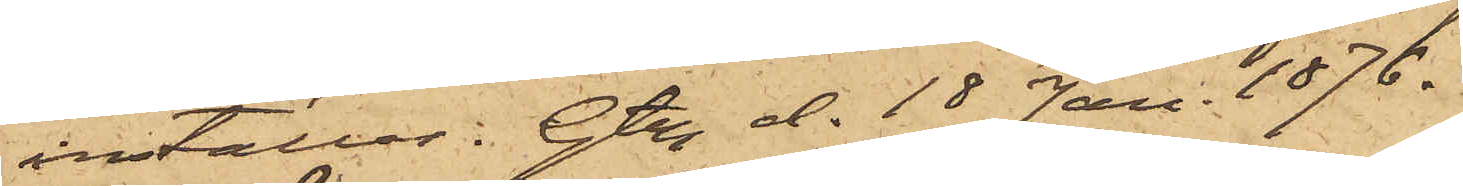inställas. Gtbg d. 18 Jan. 1876.
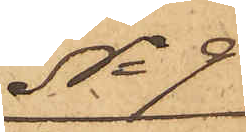No 9
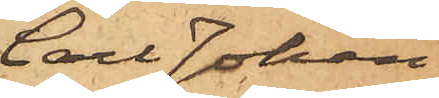Carl Johan
